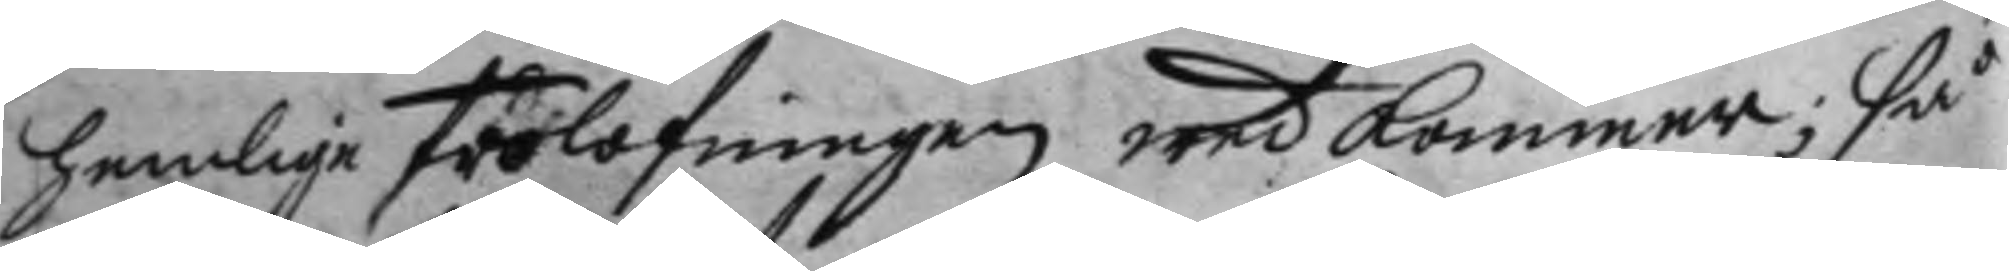hemlige förlofningen wedkommer; så
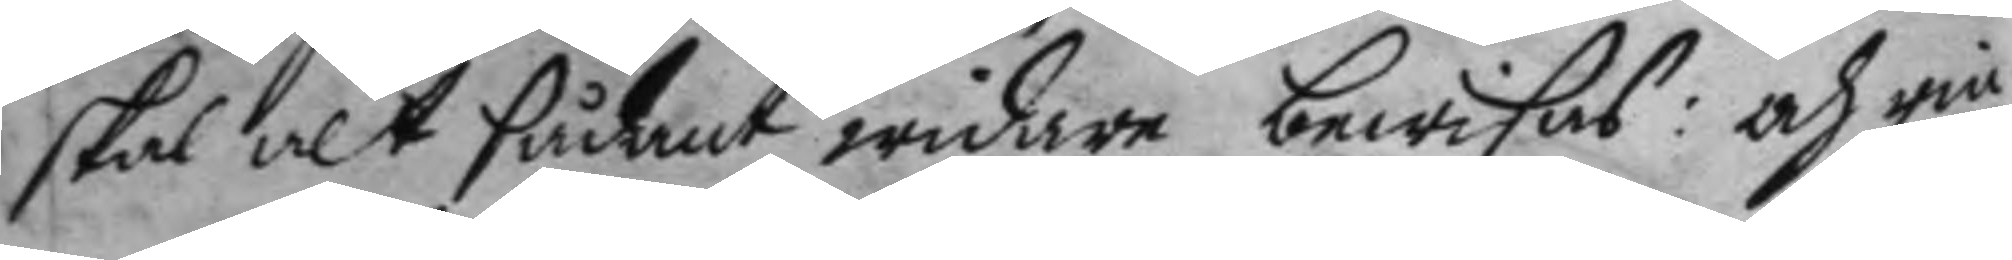skal alt sådant widare bewisas: och rin¬
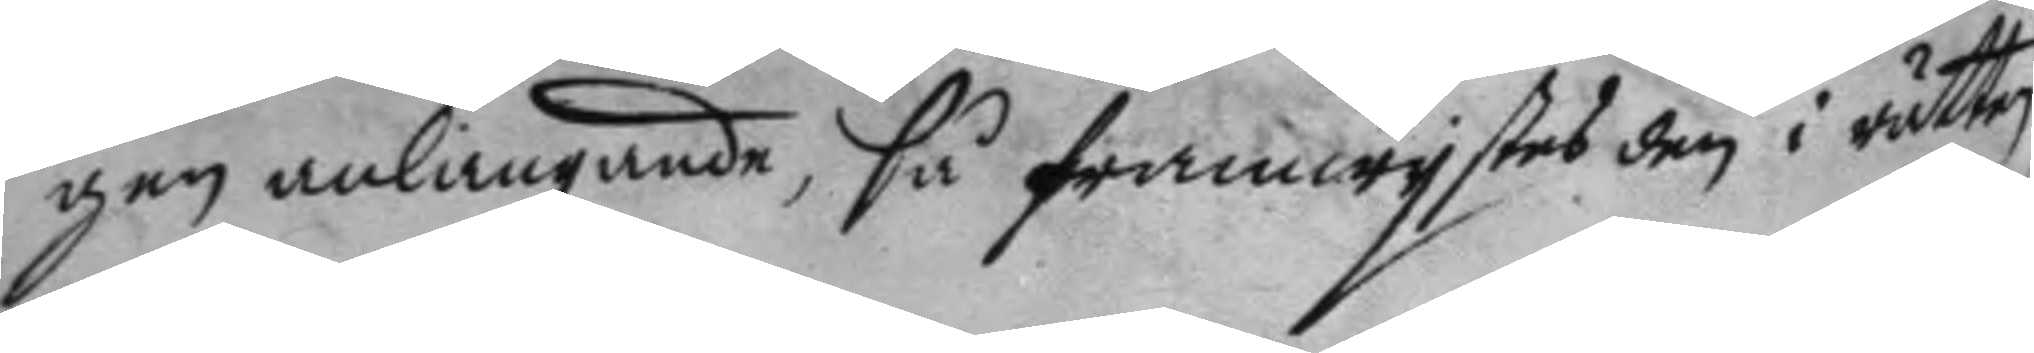gen anlangande, så framwystes den i rätten,
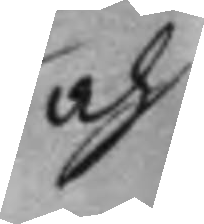och
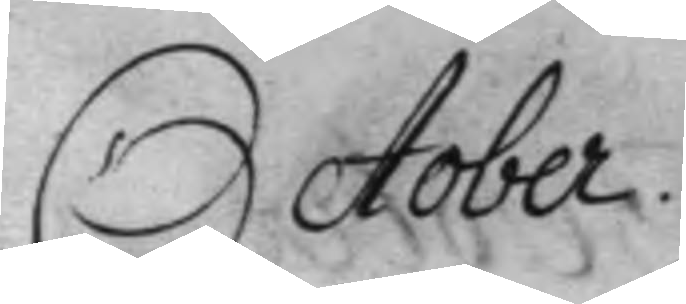October.
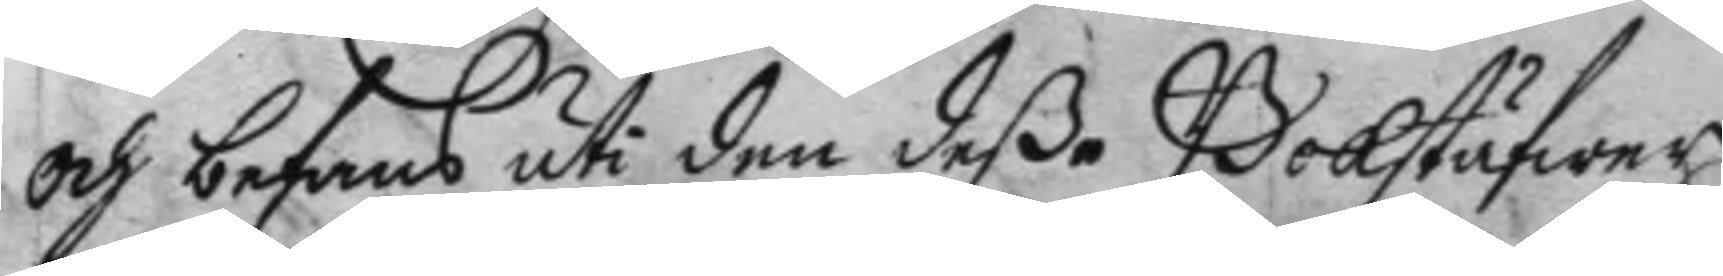och befans uti den deße Bokstäfwer
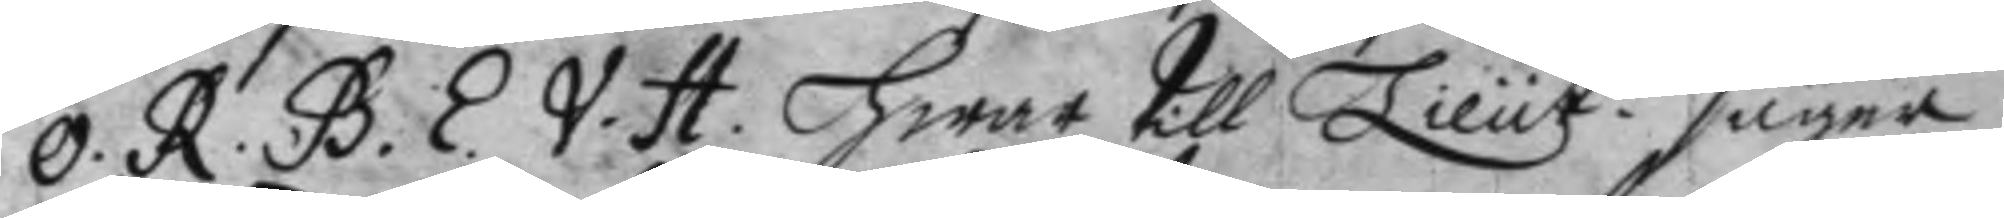O.R.B.E.V.H. hwar till Lieut.n säger
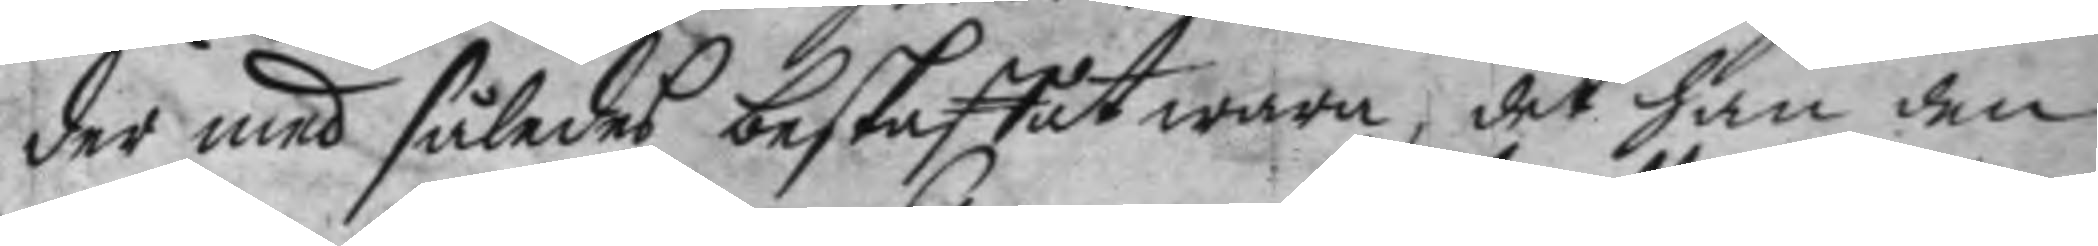der med således beskaffat wara, det han den
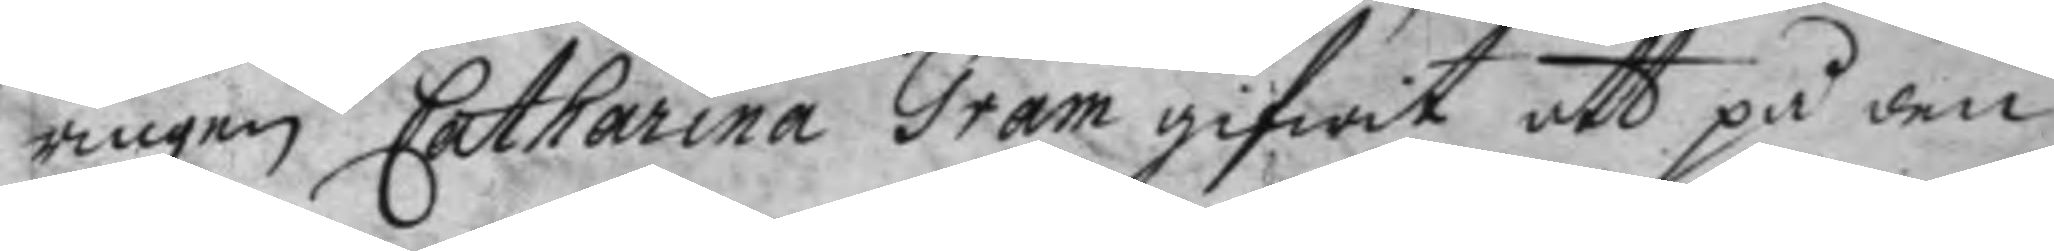ringen Catharina Gram gifwit att på den
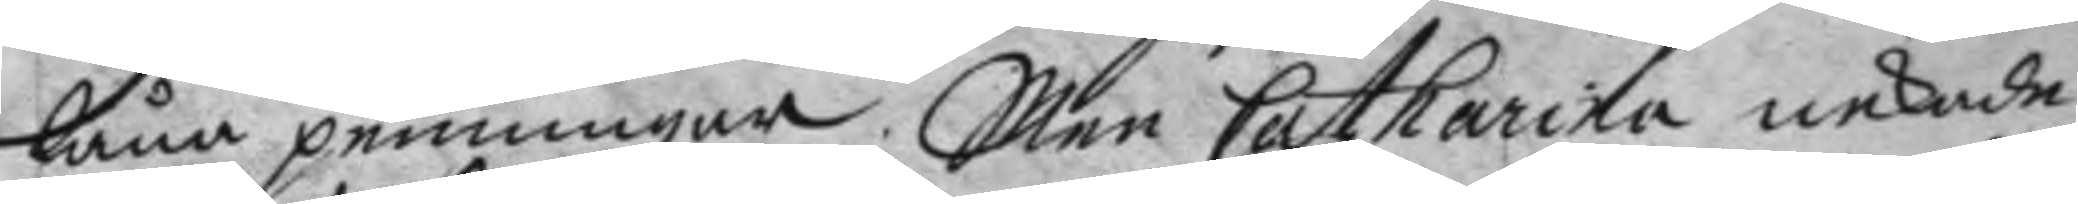låna penningar; men Catharina nekade
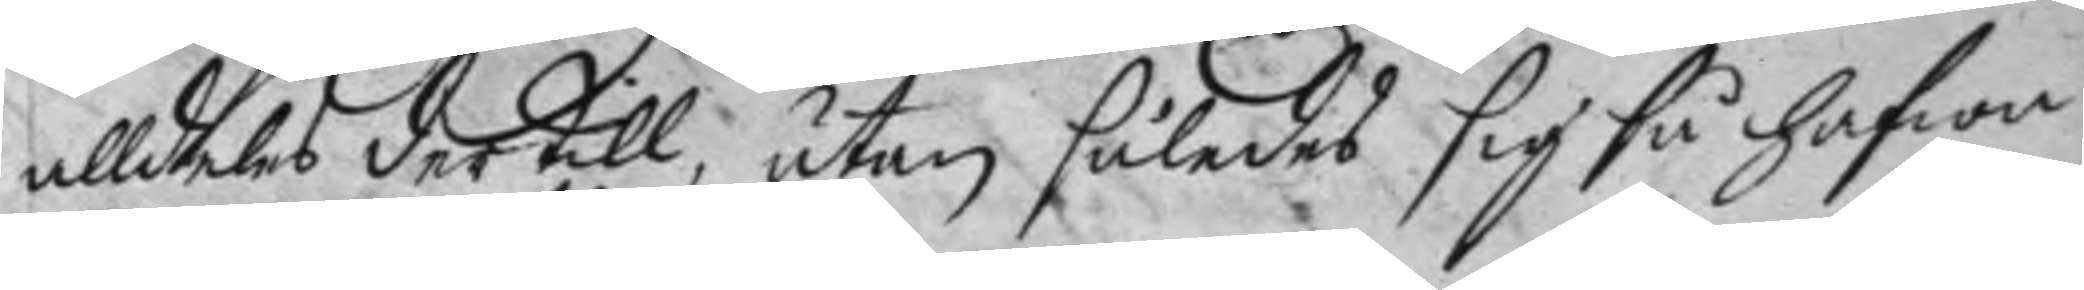alldeles der till, utan således sig så hafwa
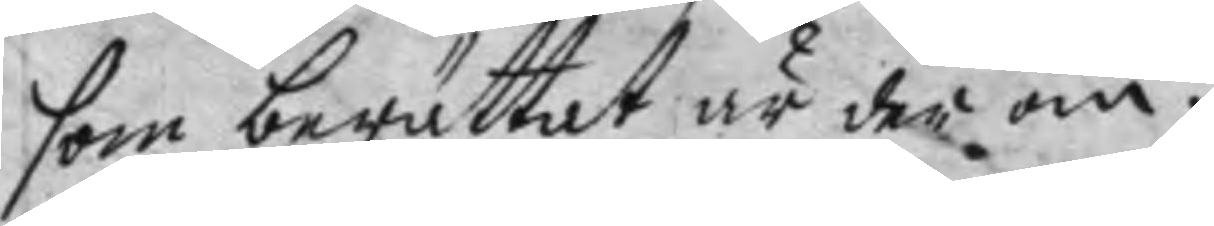som berättat är der om.
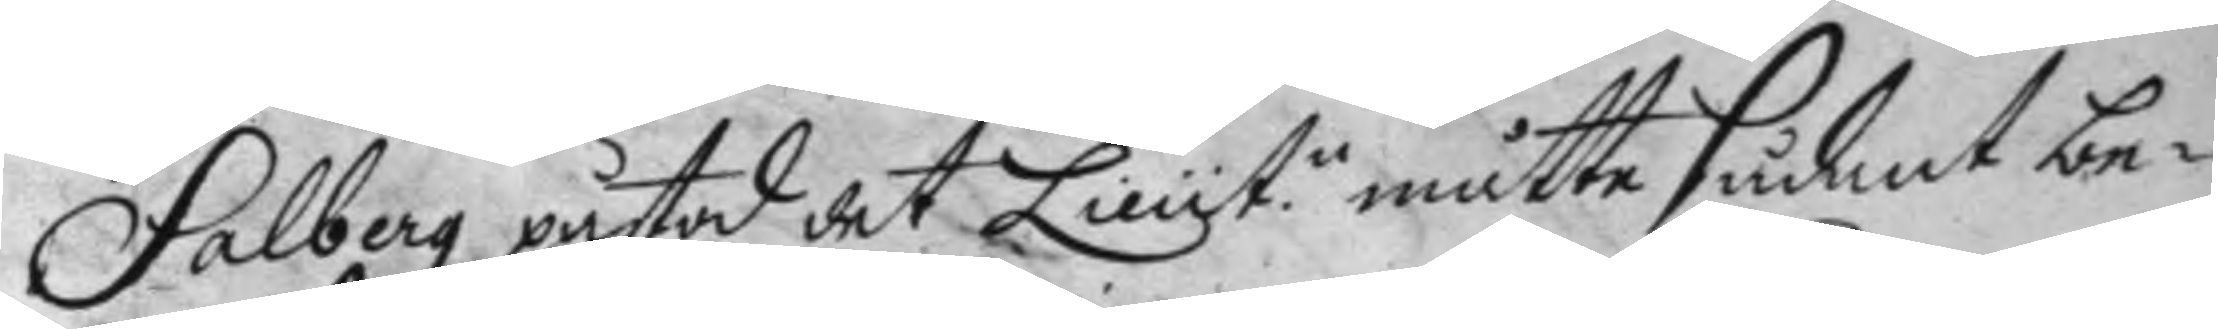Salberg påstor det Lieut.n måtte sådant be¬
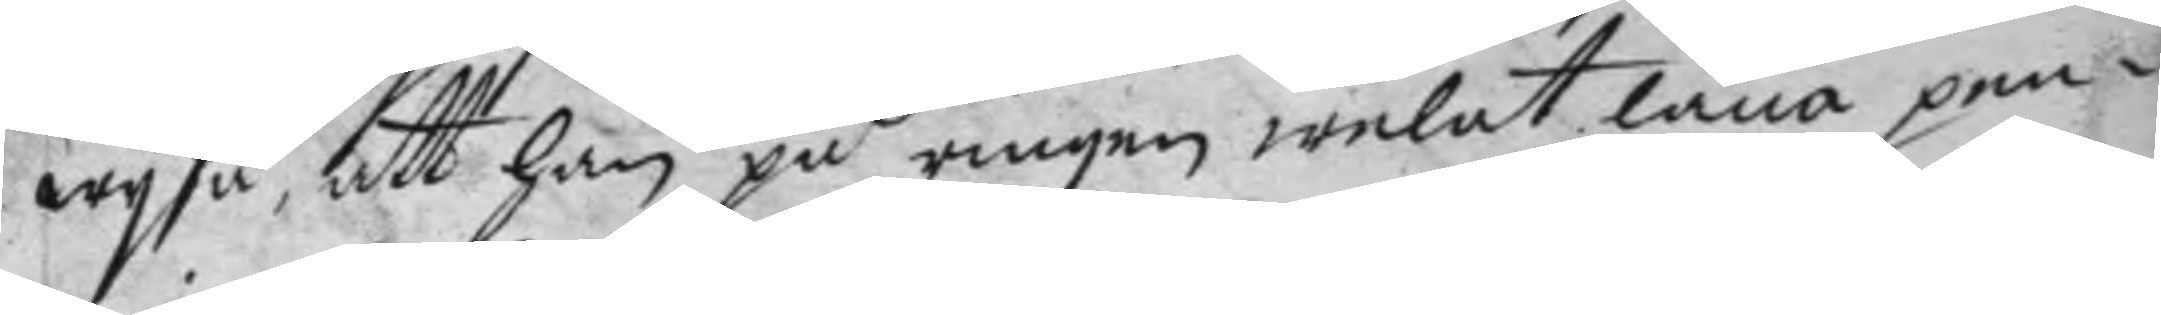wysa, att han på ringen welat låna pen¬
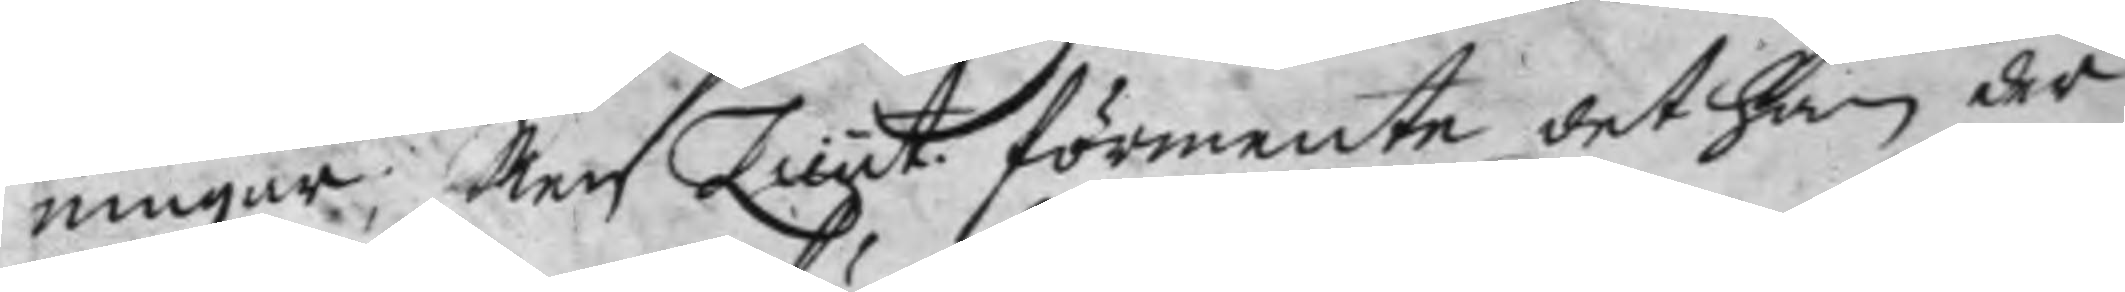ningar; Men Lieut. förmente det han der
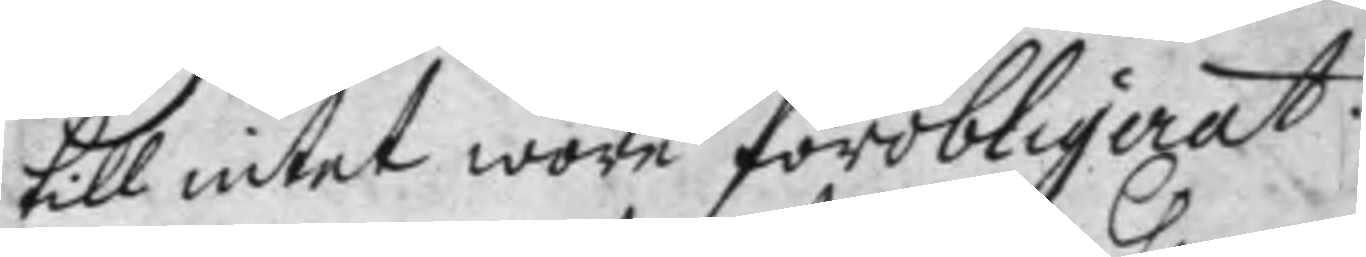till intet wore förobligerat.
